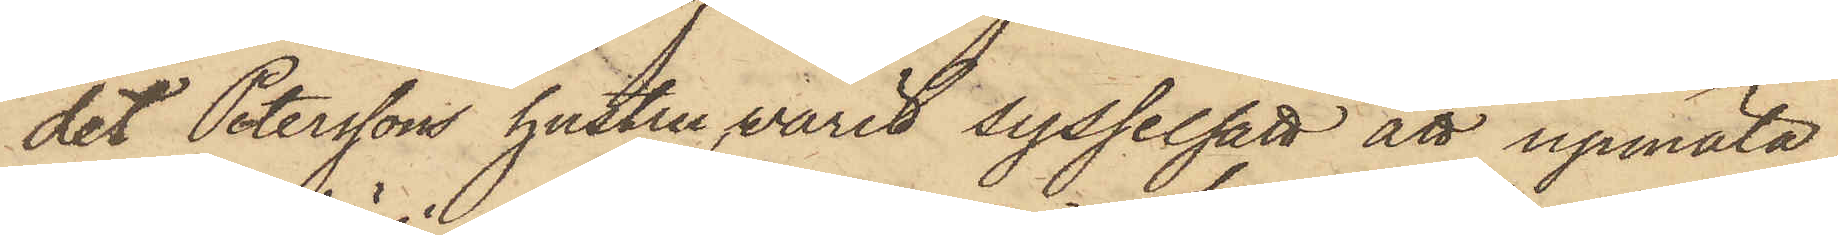det Peterssons hustru varit sysselsatt att upmäta
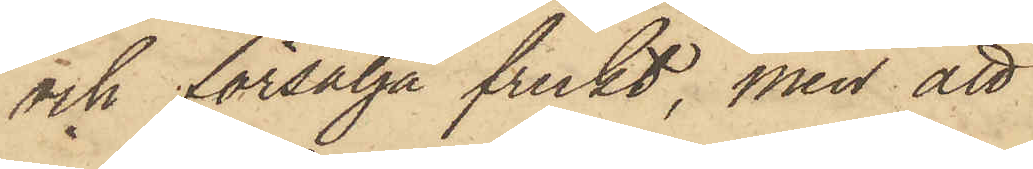och försälja frukt, men att
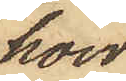hon
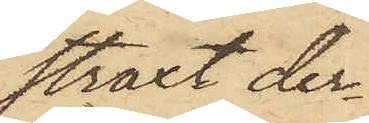straxt der¬
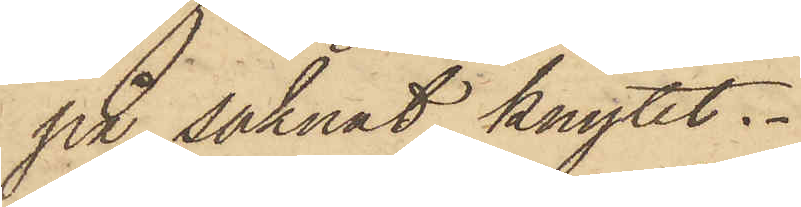på saknat knytet.
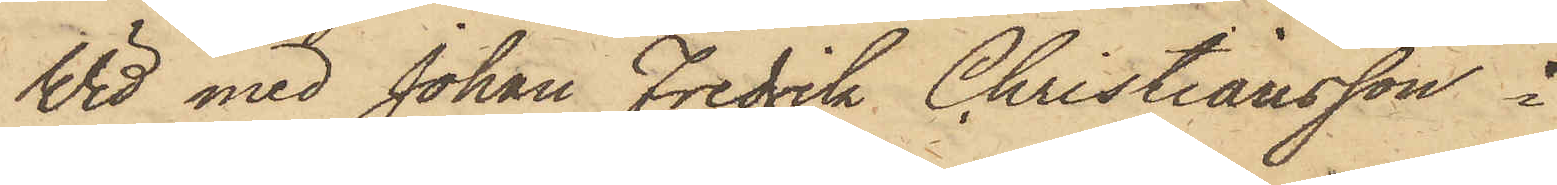Wid med Johan Fredrik Christiansson i
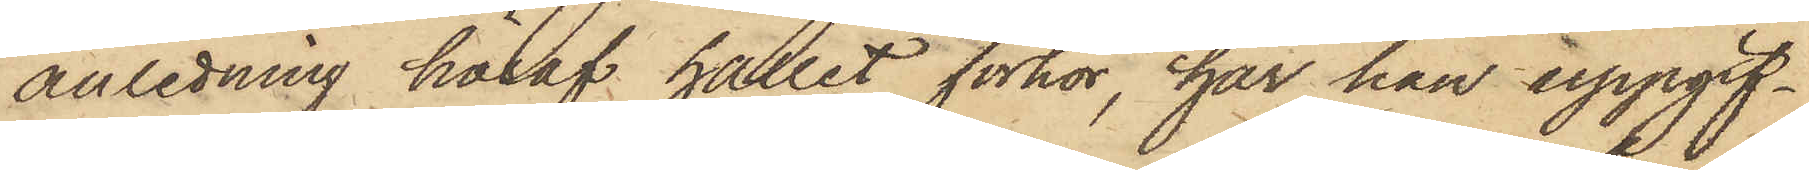anledning häraf hållit förhör, har han uppgif¬
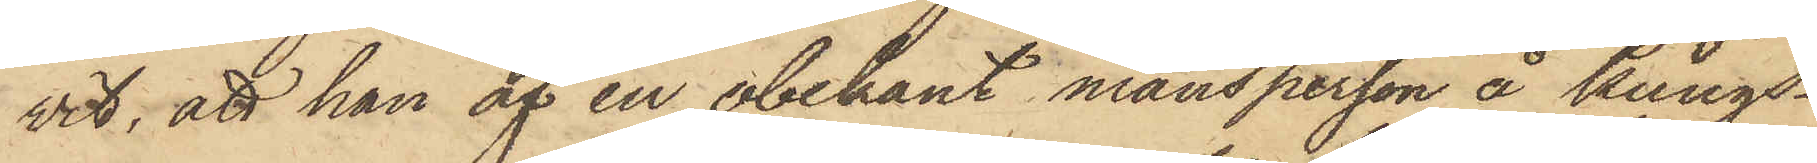vit, att han af en obekant mansperson å Kungs¬
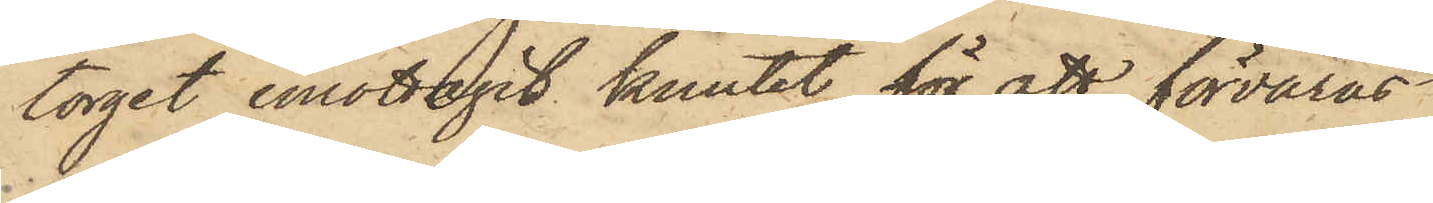torget emottagit knutet för att förvaras
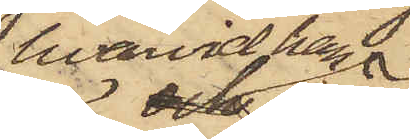hvarvid han
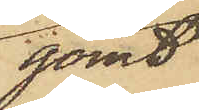gömt
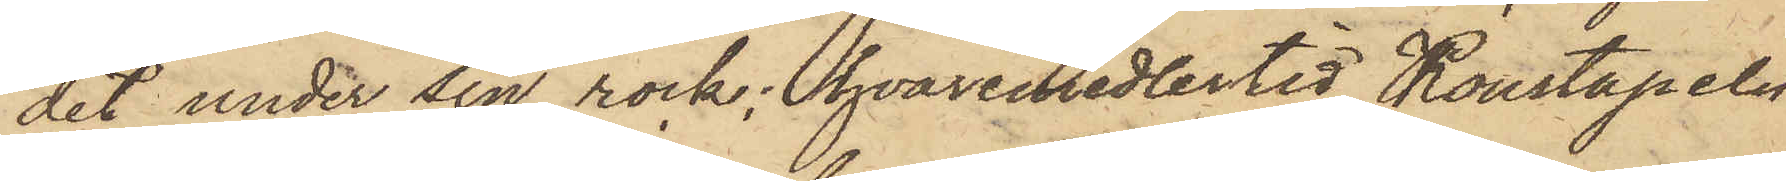det under sin rock; hvaremedlertid Konstapeln
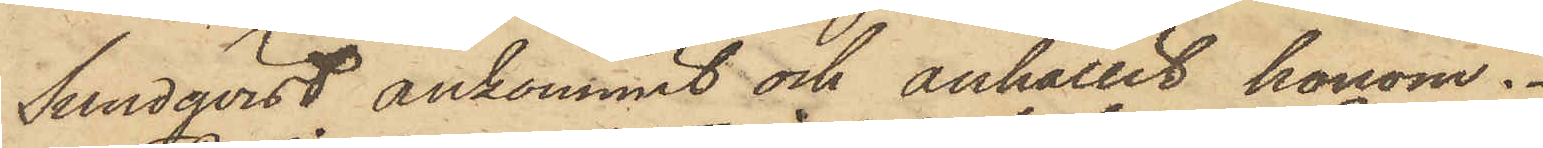Sundqvist ankommit och anhållit honom.
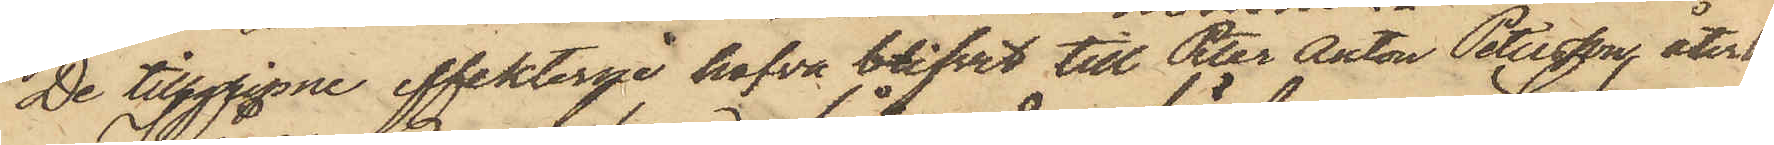De tillgripne effekterne hafva blifvit till Peter Anton Petersson, återlemn(ade).
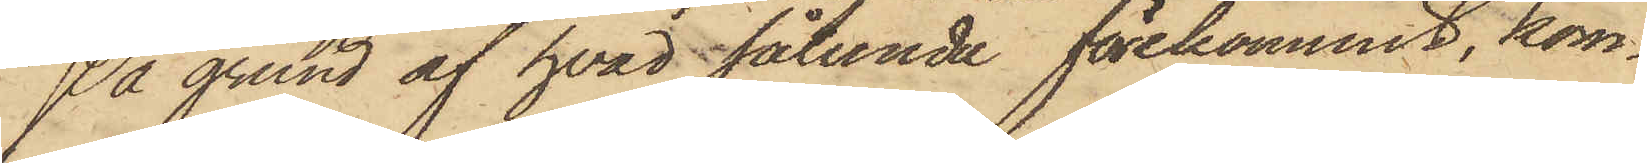På grund af hvad sålunda förekommit, kom¬
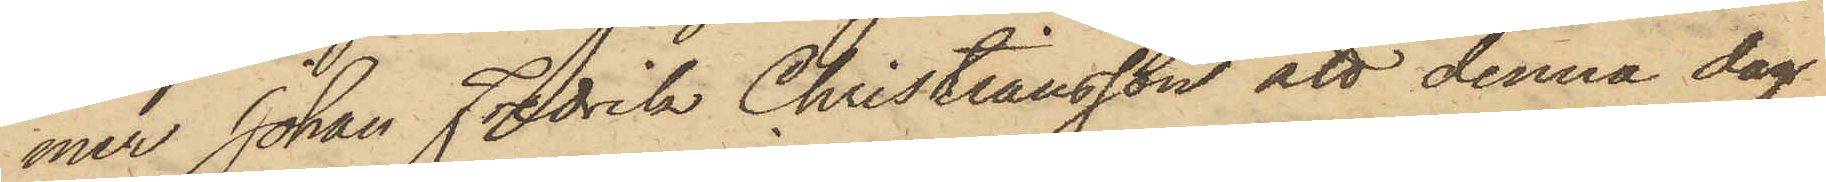mer Johan Fredrik Christiansson att denna dag
